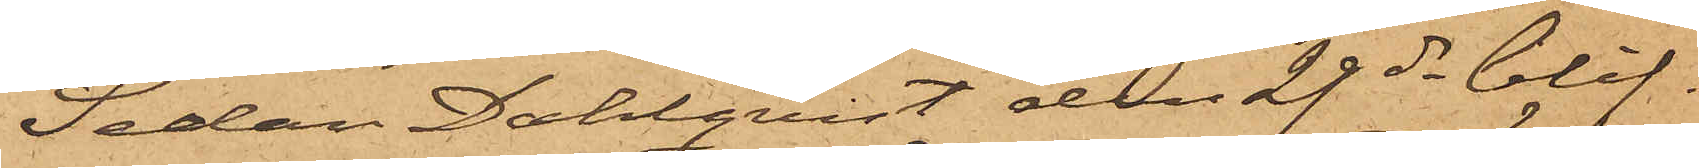Sedan Dahlqvist den 29 ds blif¬
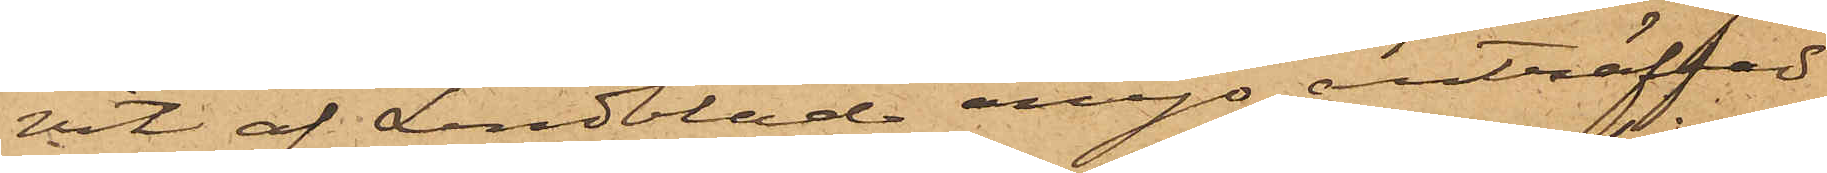vit af Lindblad ånyo anträffad
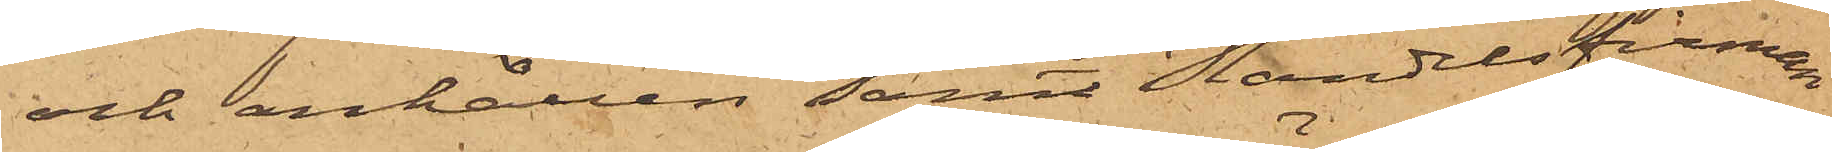och anhållen samt Handelsfirman
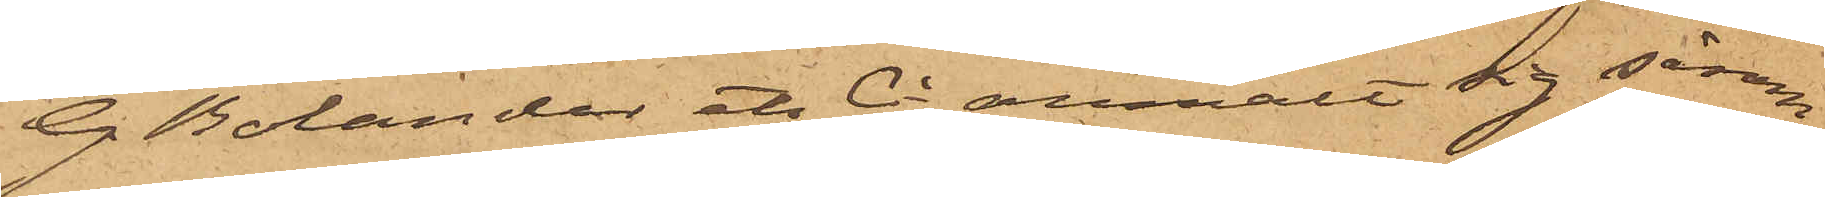G. Bolander et Ci anmält sig såsom
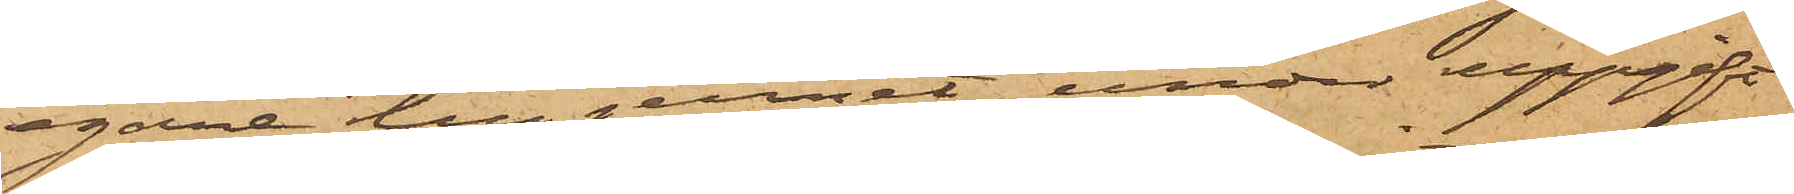egare till jernet, under uppgift
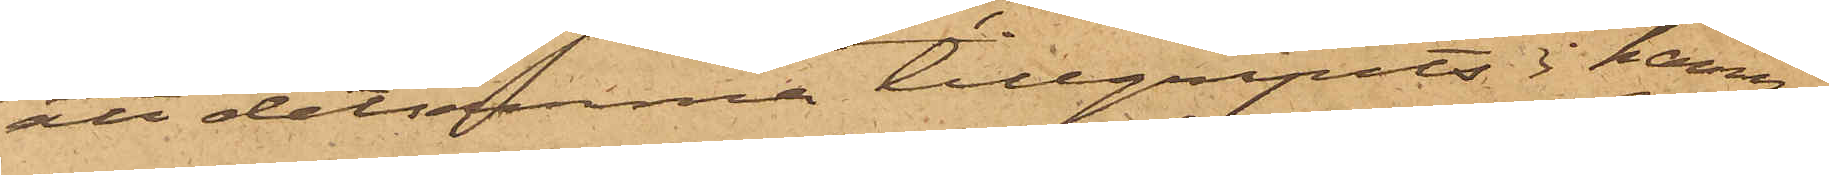att detsamma tillgripits i hamn¬
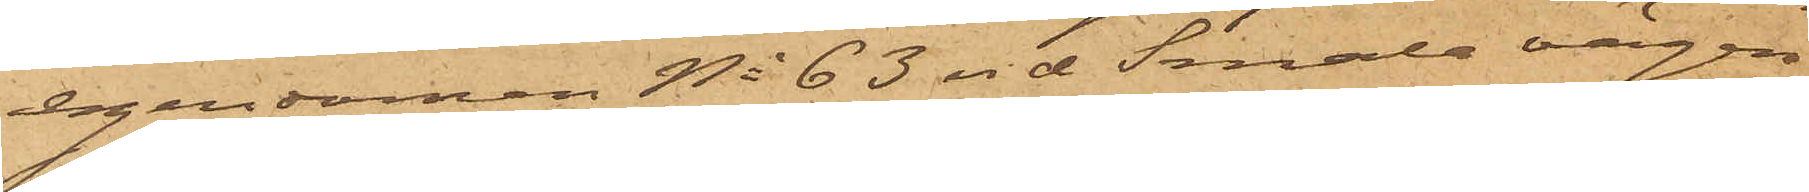egendomen No 63 vid Smala vägen,
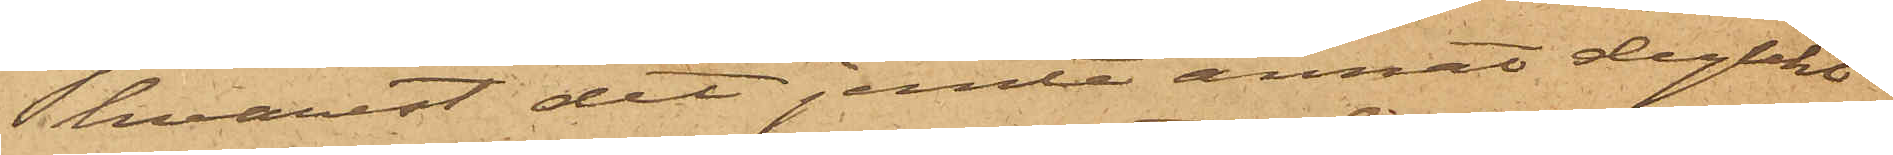hvarest det jemte annat dylikt
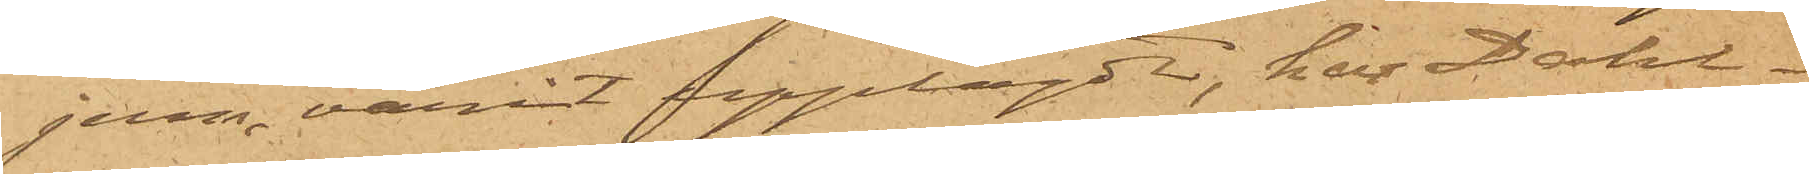jern varit upplagdt, har Dahl¬
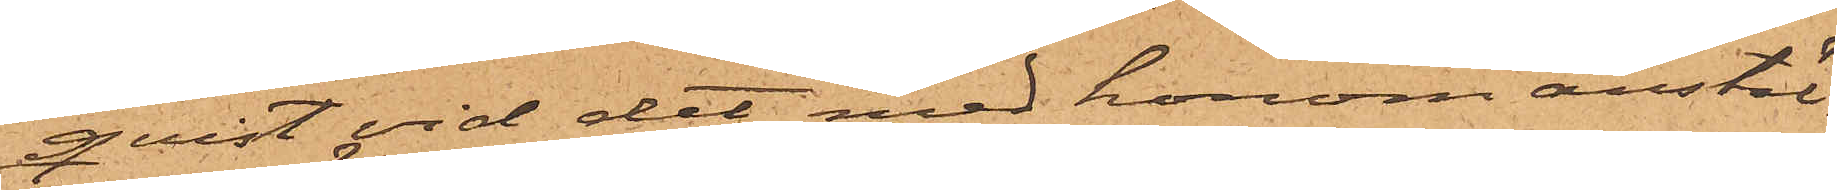qvist vid det med honom anstäl¬
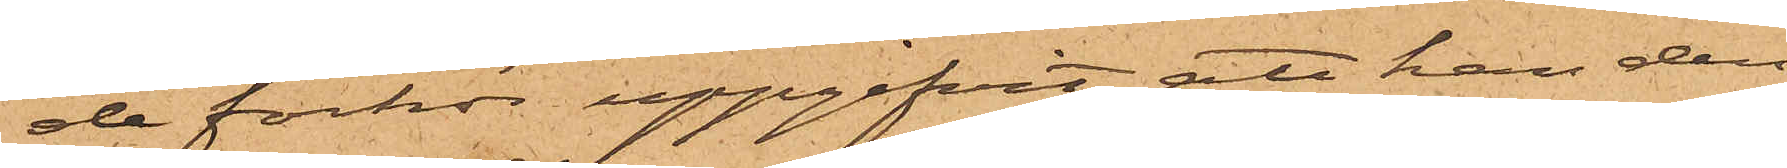de förhör uppgifvit, att han den
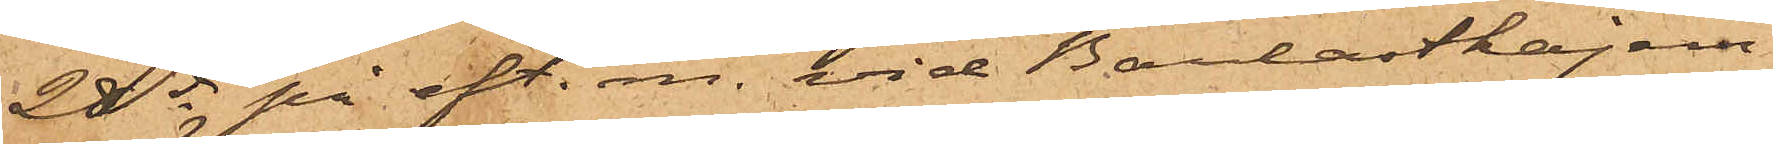28 ds på eft. m. vid Barlastkajen
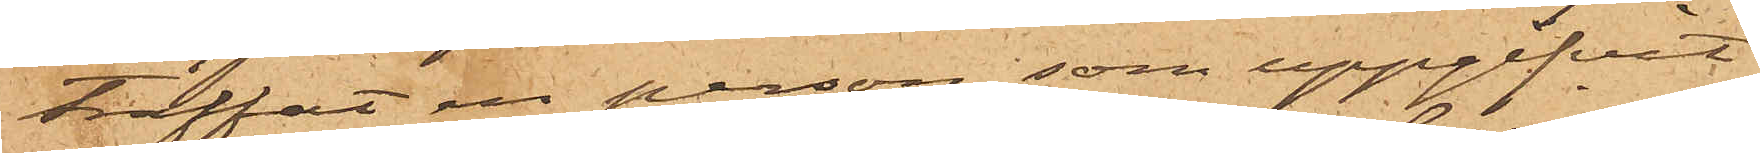träffat en person, som uppgifvit
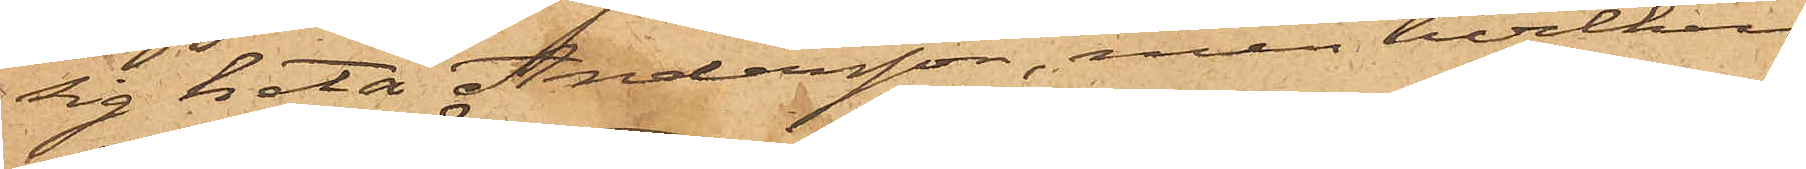sig heta Andersson, men hvilken
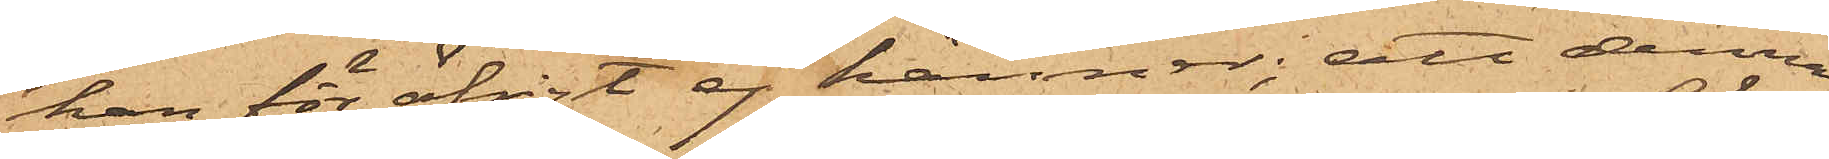han för öfrigt ej känner; att denna
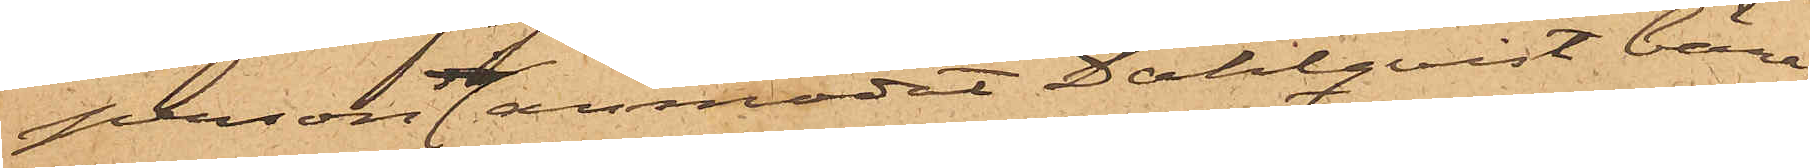person anmodat Dahlqvist bära
